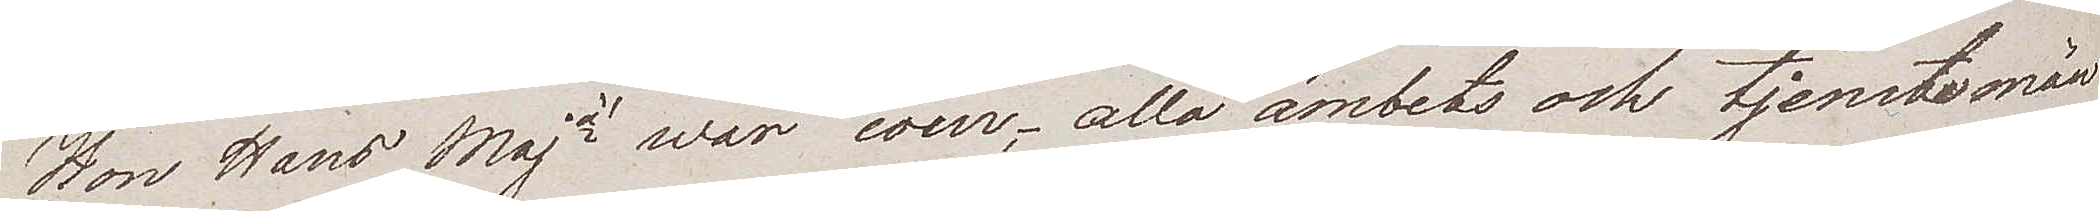Hon Hans Majà war cour; alla ämbets och tjenstemän
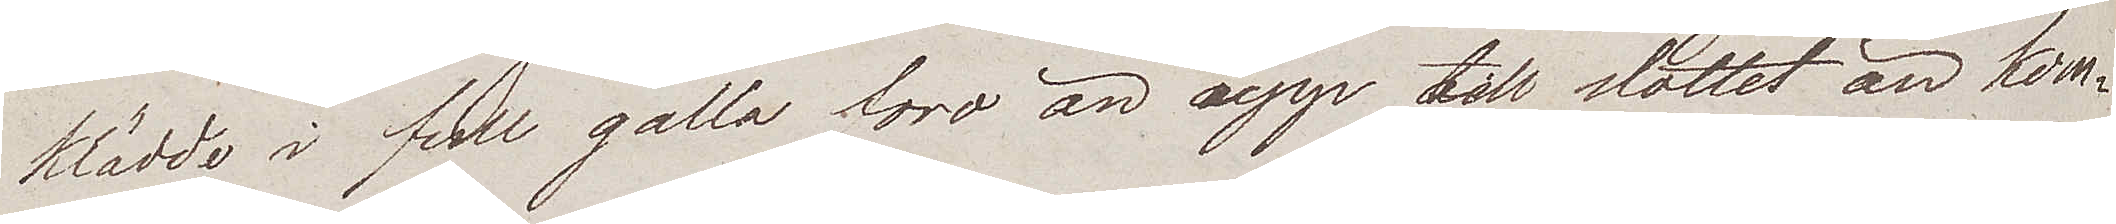klädde i full galla foro än upp till slottet än kom¬
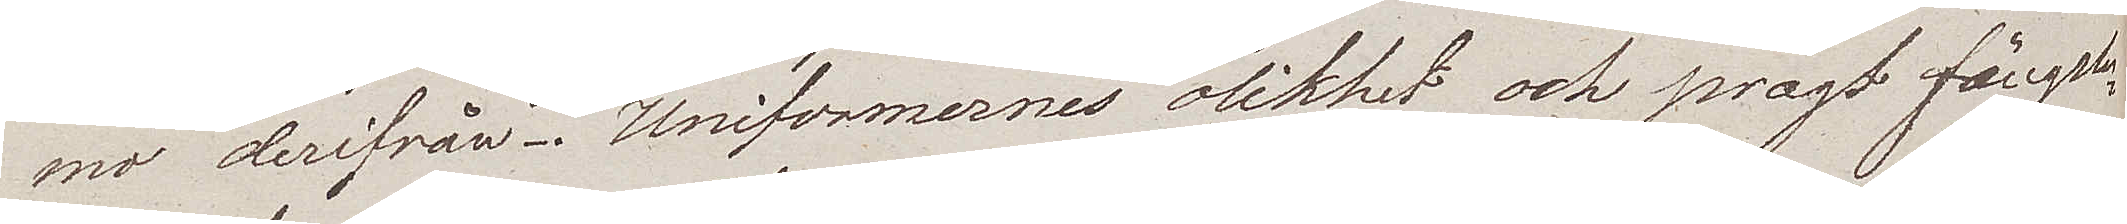mo derifrån. Uniformernes olikhet och pragt fängsla¬
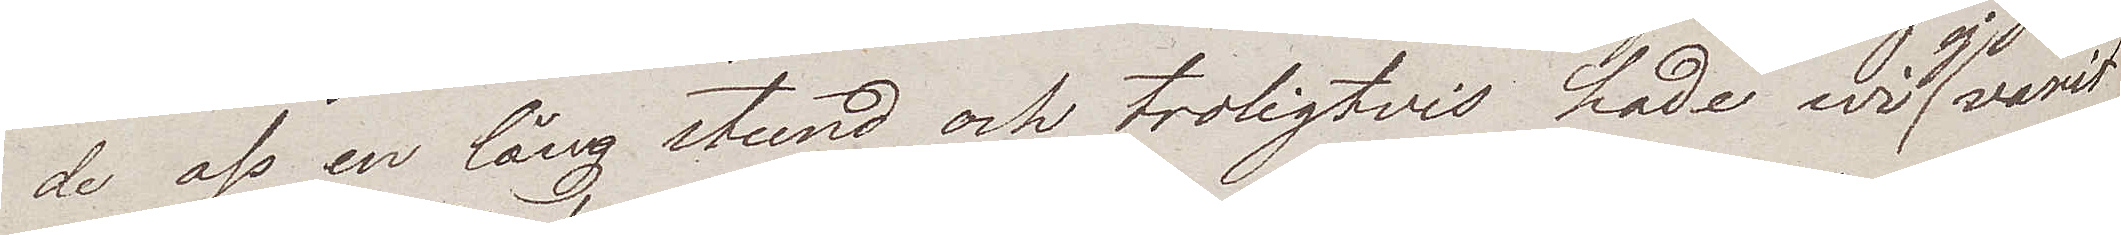de oss en lång stund och troligtvis hade wi ej varit
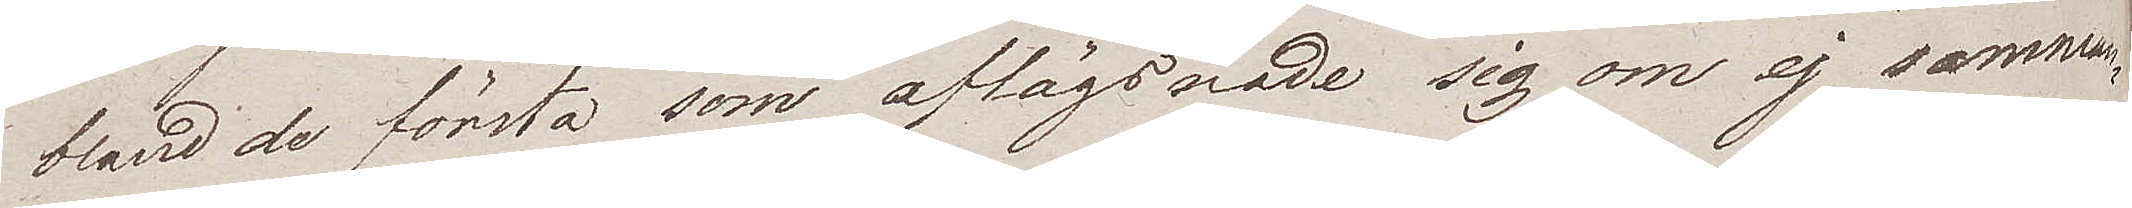bland de första som aflägsnade sig om ej samman¬
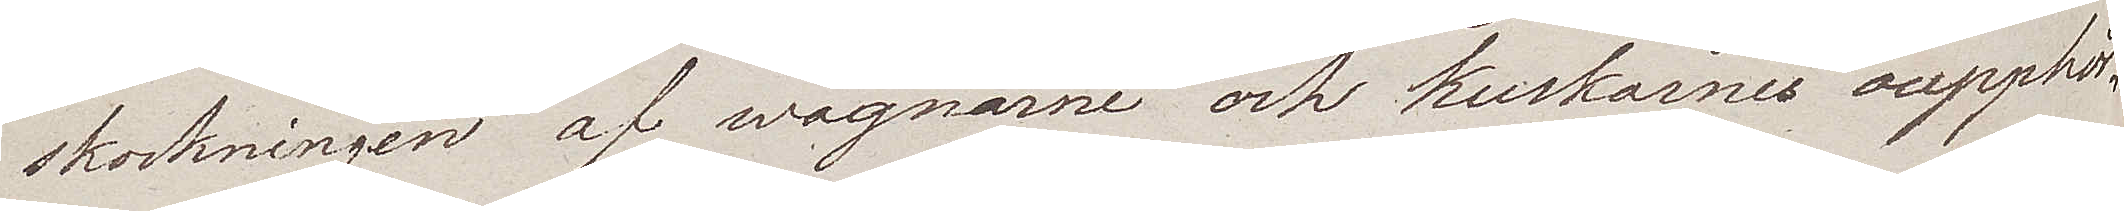skockningen af wagnarne och kuskarnes oupphör¬
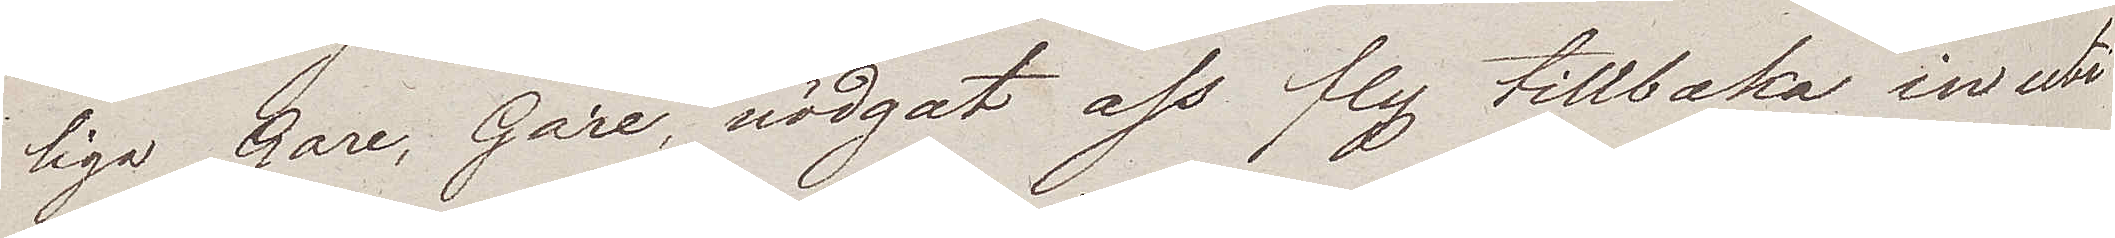liga Gare, Gare, nödgat oss fly tillbaka in uti
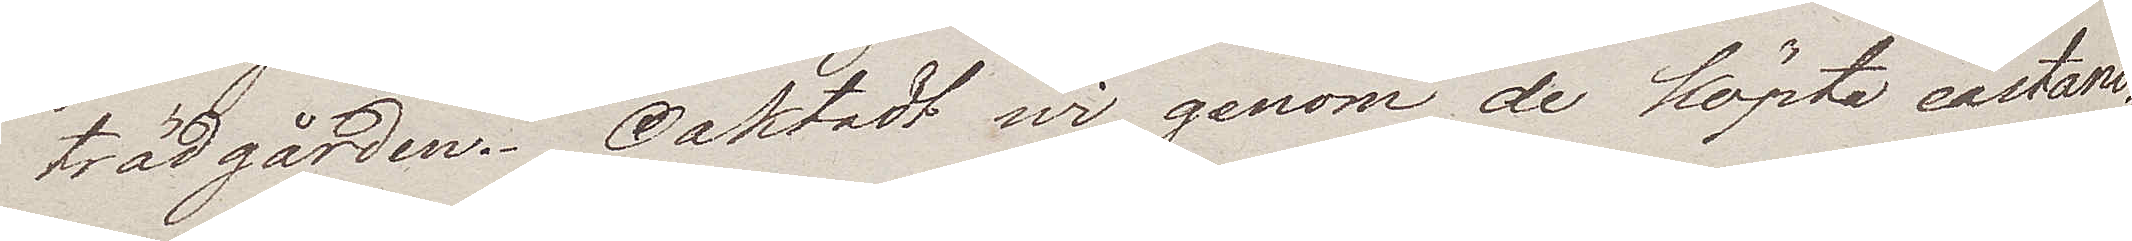trädgården. Oaktadt wi genom de köpta castani¬
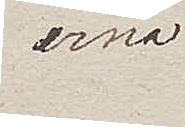erna
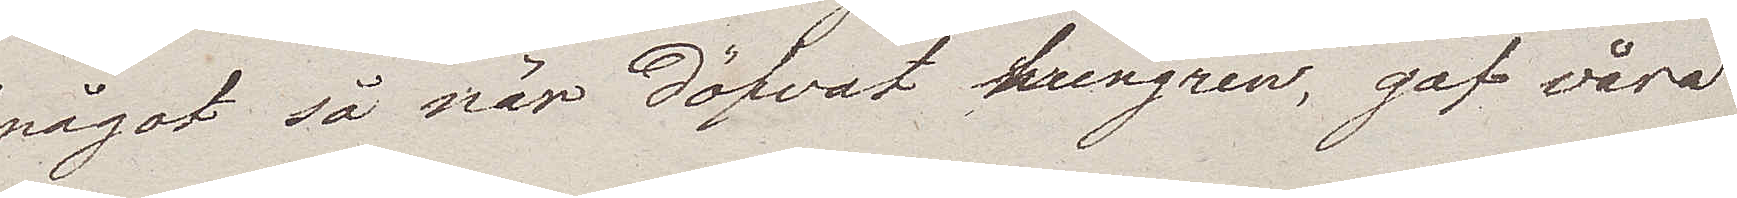något så när döfvat hungren, gaf våra
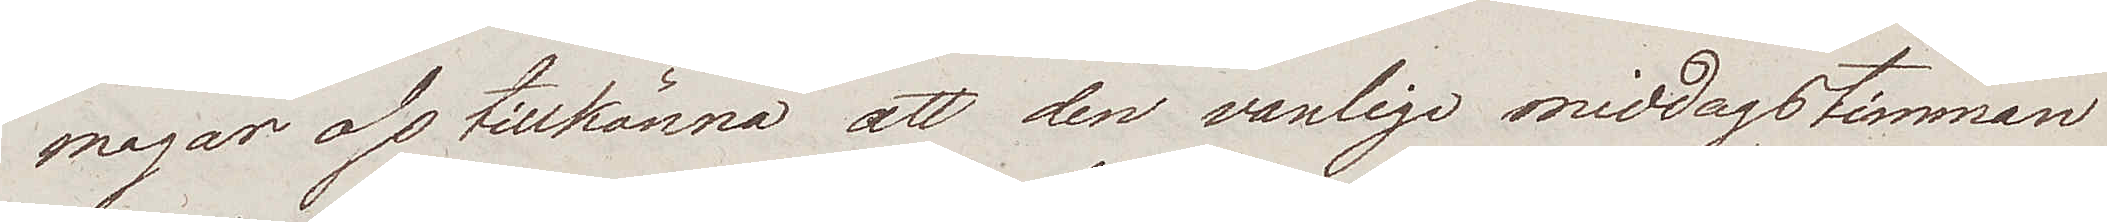magar oss tillkänna att den vanliga middagstimman
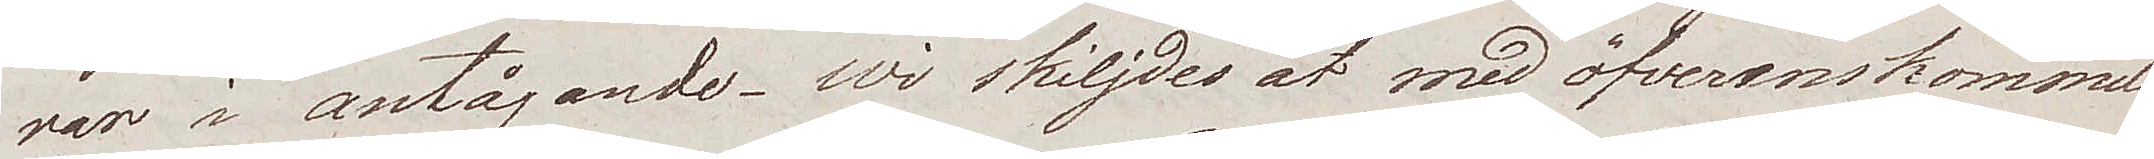var i antågande. Wi skiljdes åt med öfverenskommel¬
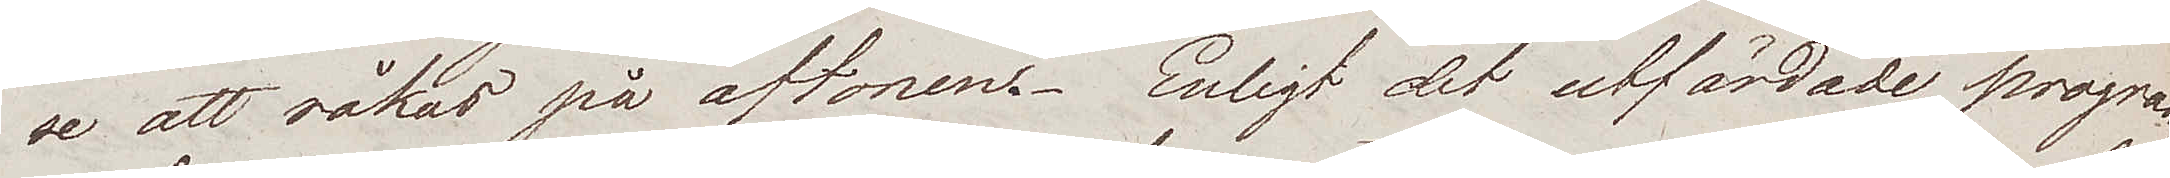se att råkas på aftonen. Enligt det utfärdade progra¬
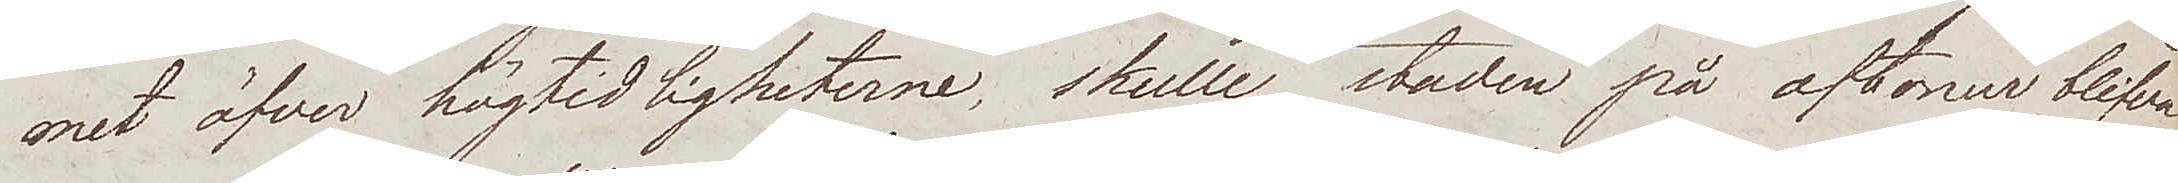met öfver högtidligheterne, skulle staden på aftonen blifva
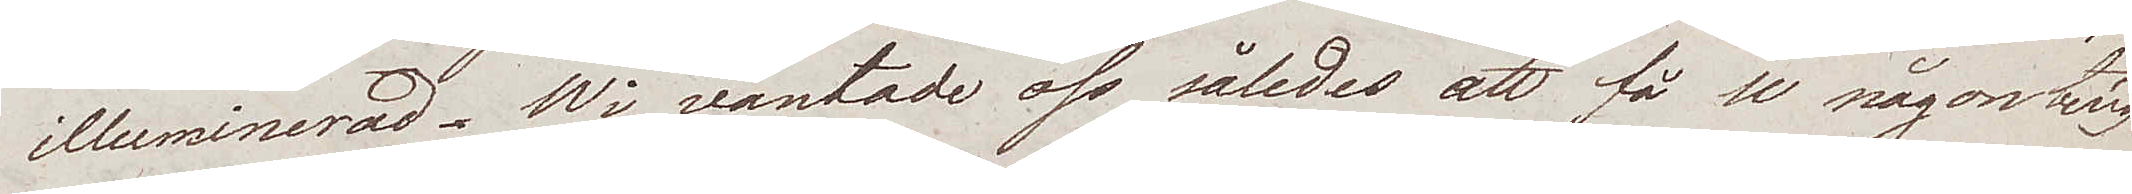illuminerad. Wi väntade oss således att få se någonting
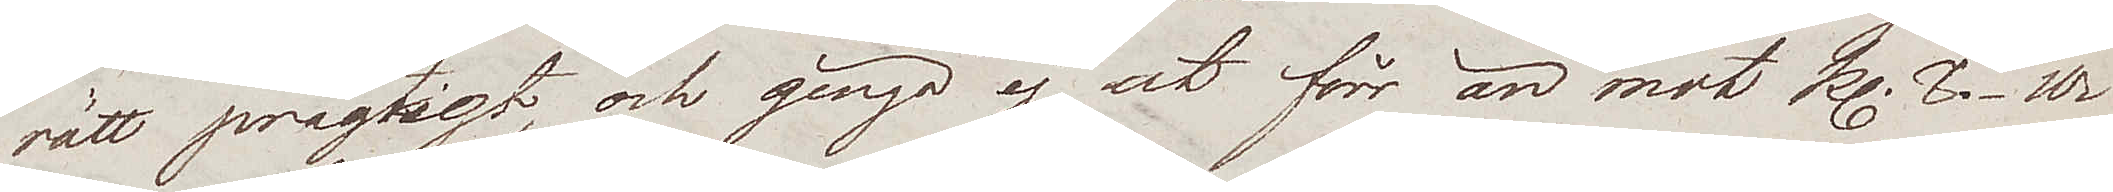rätt prägtigt, och gingo ej ut förr än mot kl. 8. Wi
